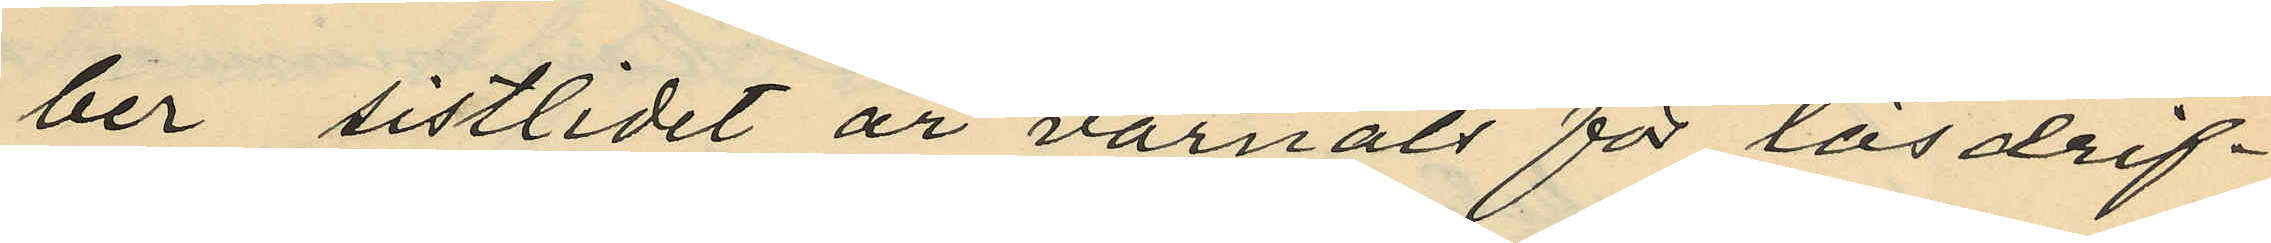ber sistlidet år varnats för lösdrif¬
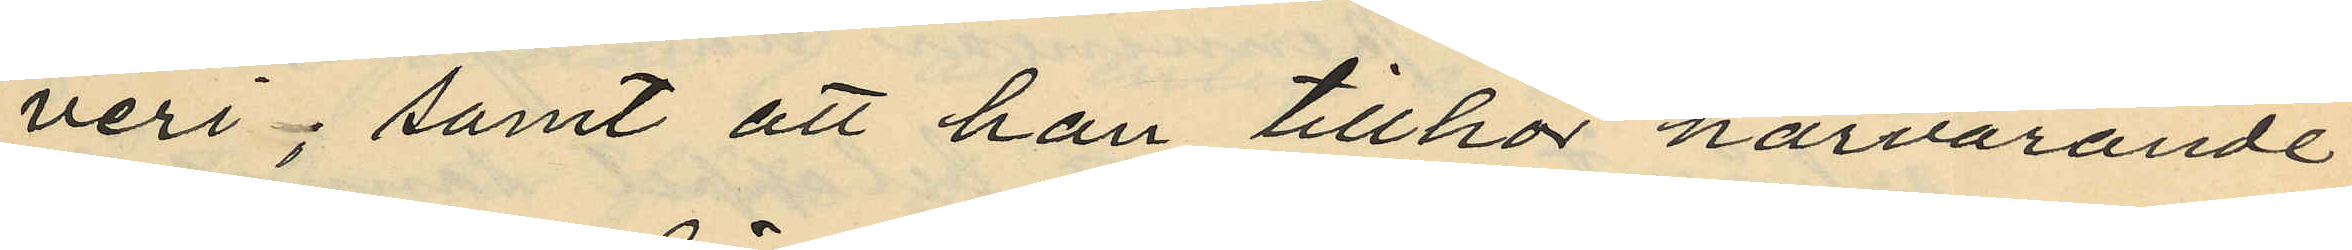veri; samt att han tillhör härvarande
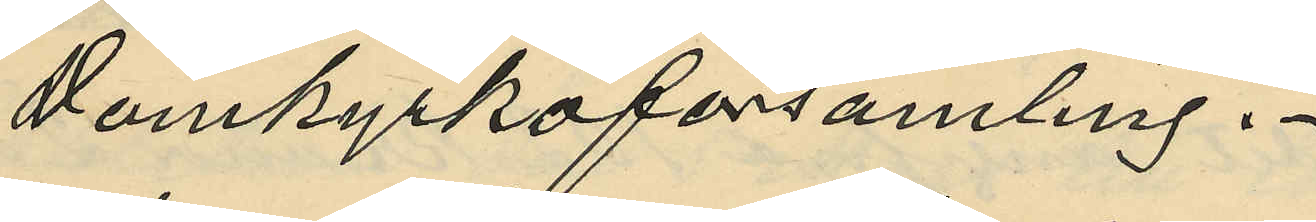Domkyrkoförsamling.
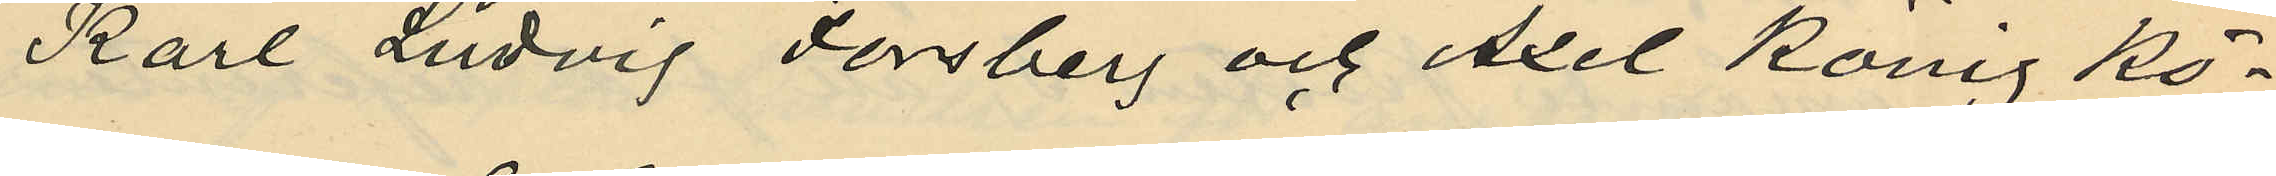Karl Ludvig Forsberg och Axel König Kö¬
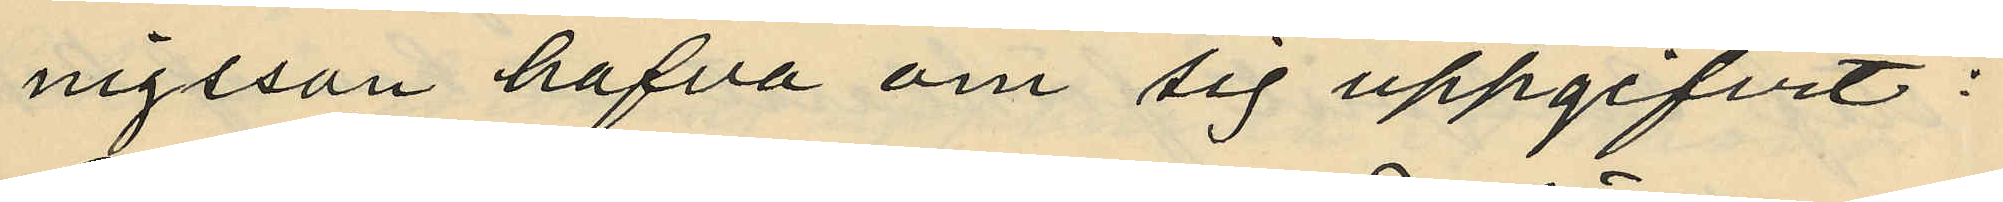nigsson hafva om sig uppgifvit:
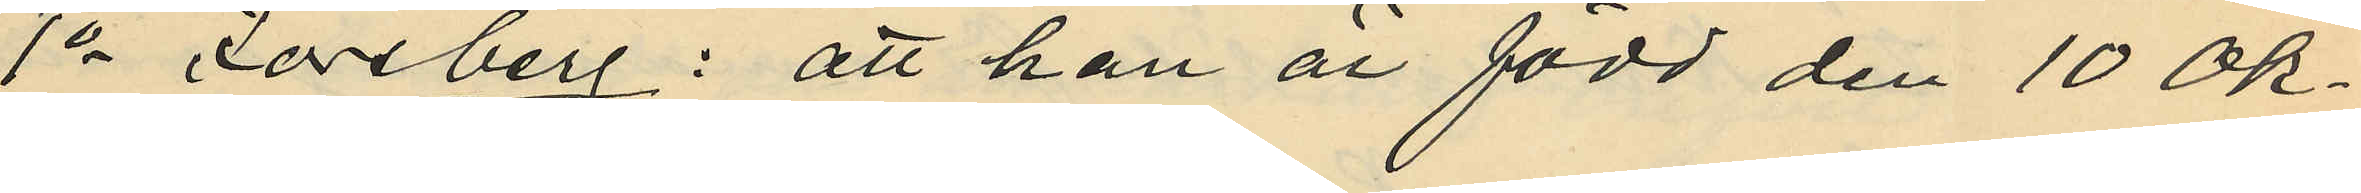1o Forsberg: att han är född den 10 Ok¬
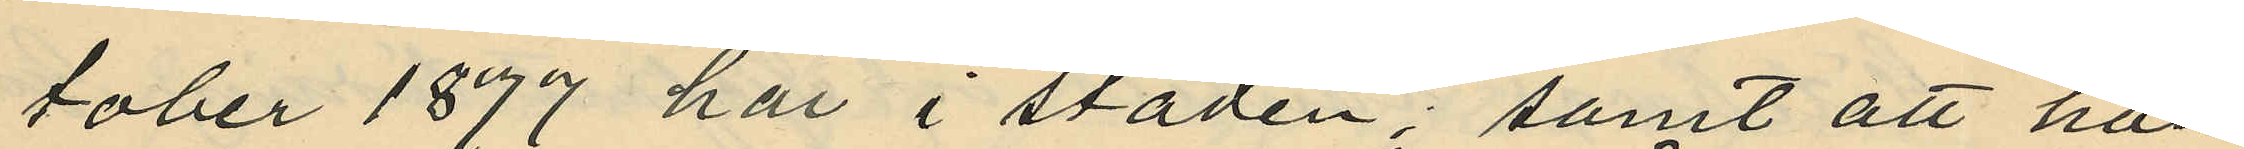tober 1877 här i staden; samt att han
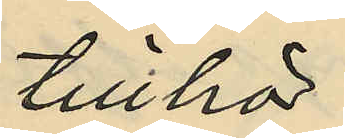tillhör
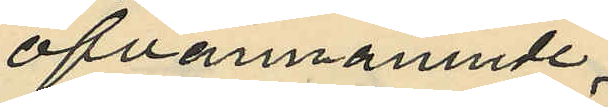ofvannämnde
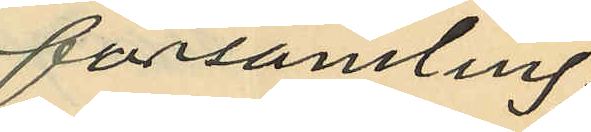församling.
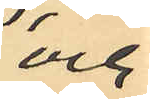och
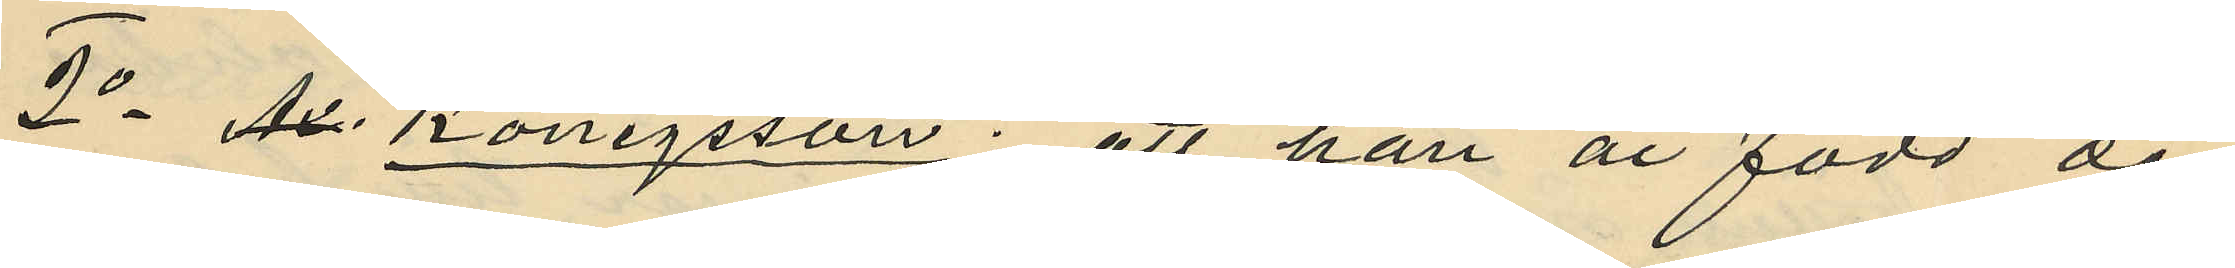2o Ax. Königsson: att han är född den
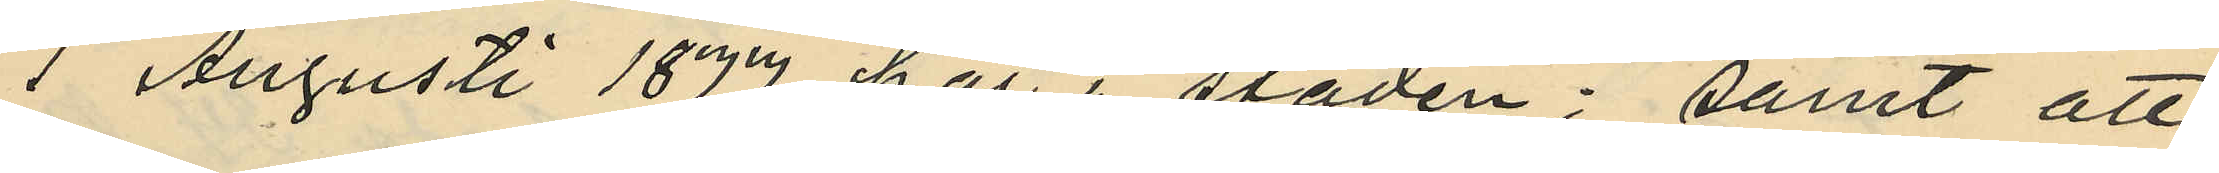1 Augusti 1877 här i staden; samt att
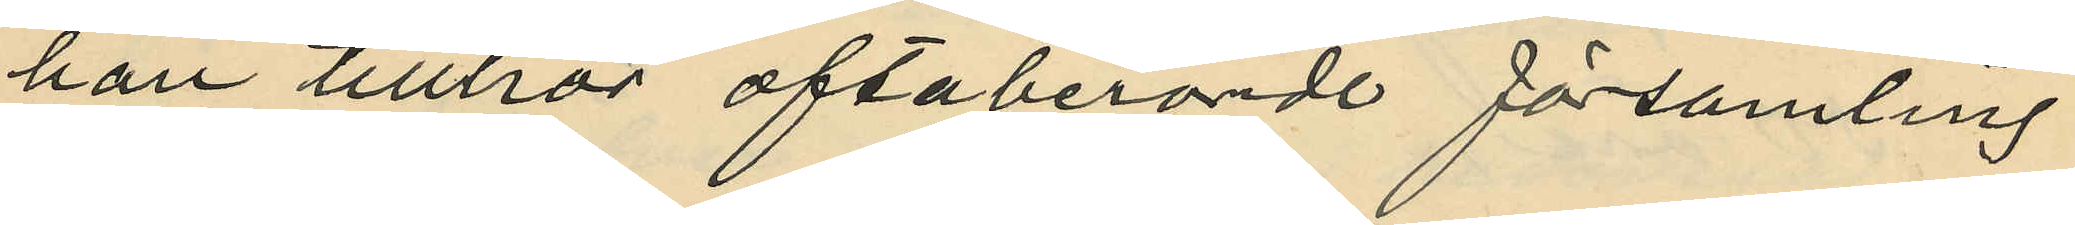han tillhör oftaberörde församling.
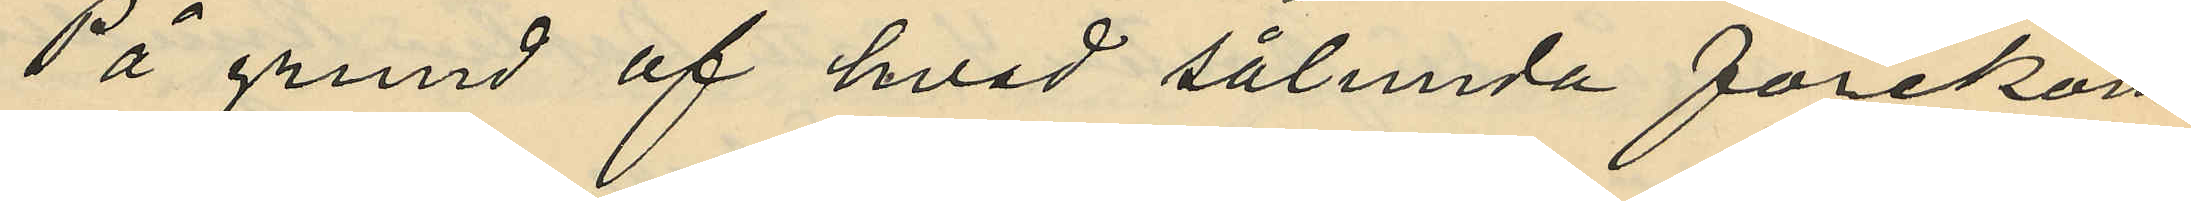På grund af hvad sålunda förekom¬
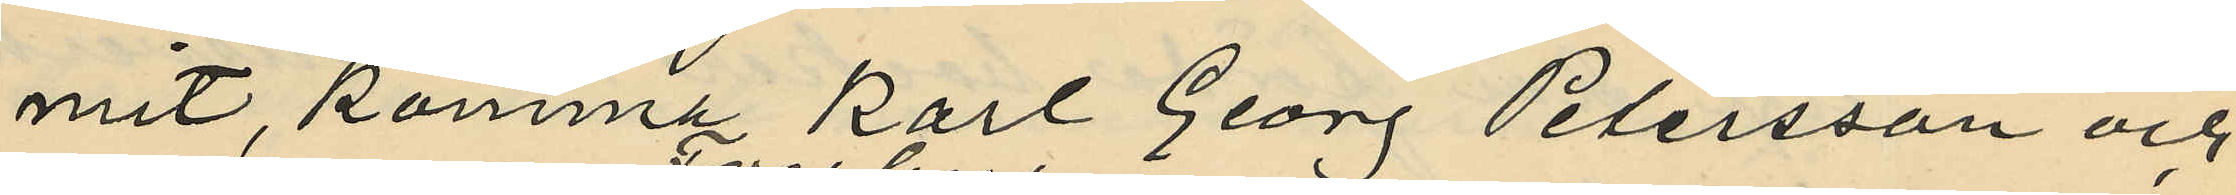mit, komma Karl Georg Petersson och
